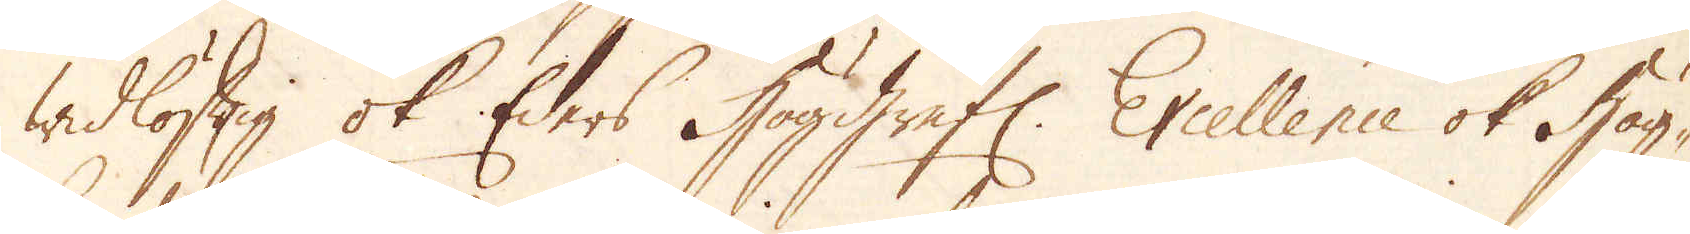widlöftig ok Eders Höggrefl: Excellence ok Hög-
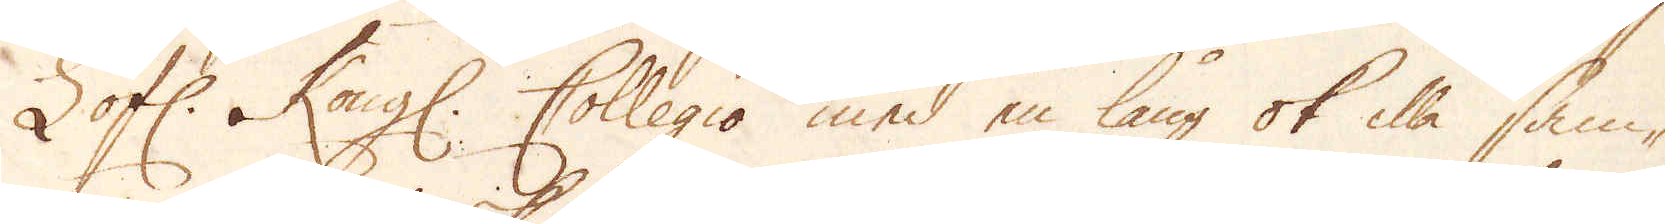Lofl: Kongl Collegio med en lång ok illa sam-
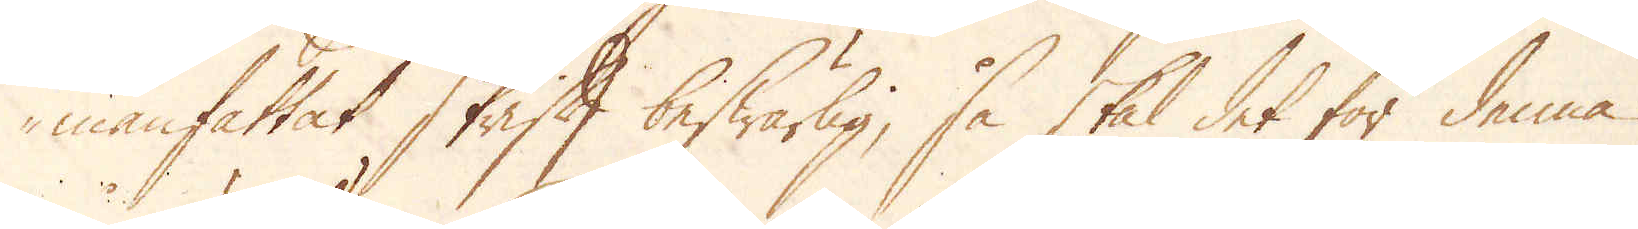manfattat skrift beswärlig, så skal det för denna
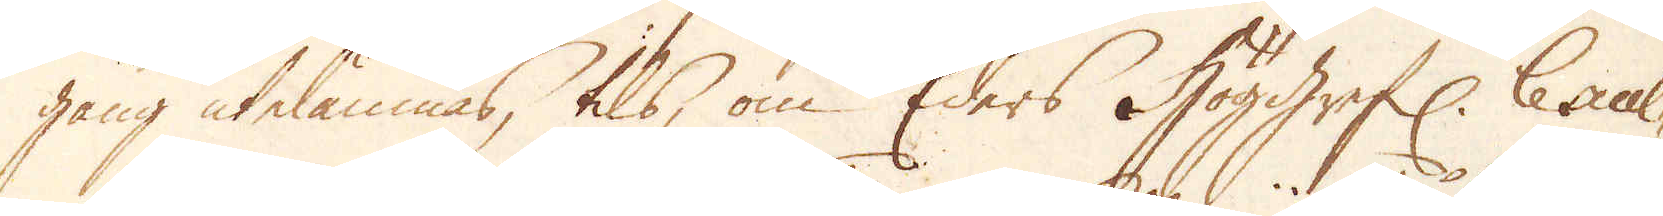gång utelämnas, tils, om Eders Höggrefl: Excel-
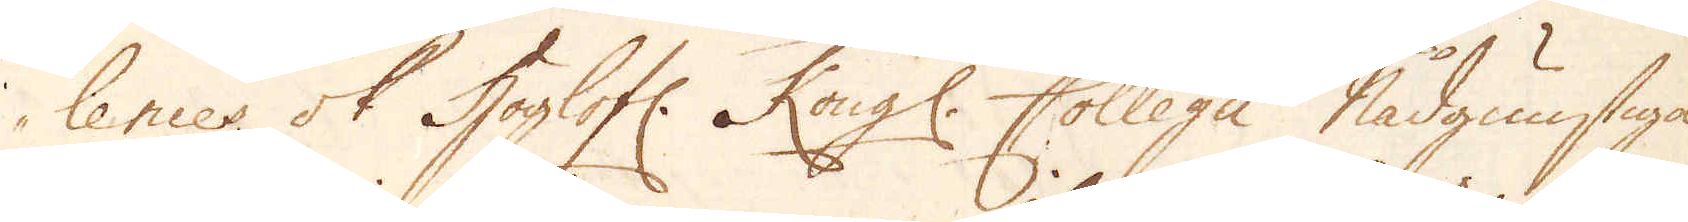lences ok Höglofl: Kongl. Collegii Nådgunstiga
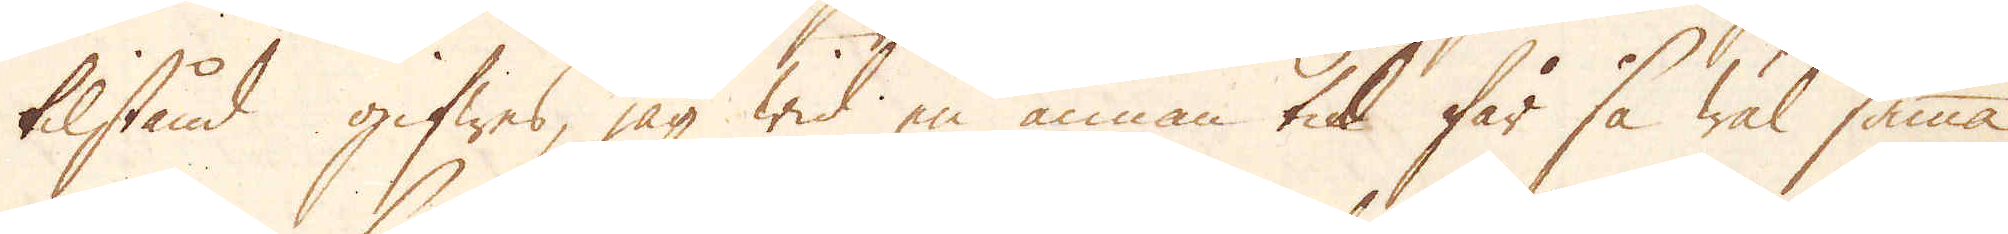tilstånd gifwas, jag wid en annan tid får så wäl samma
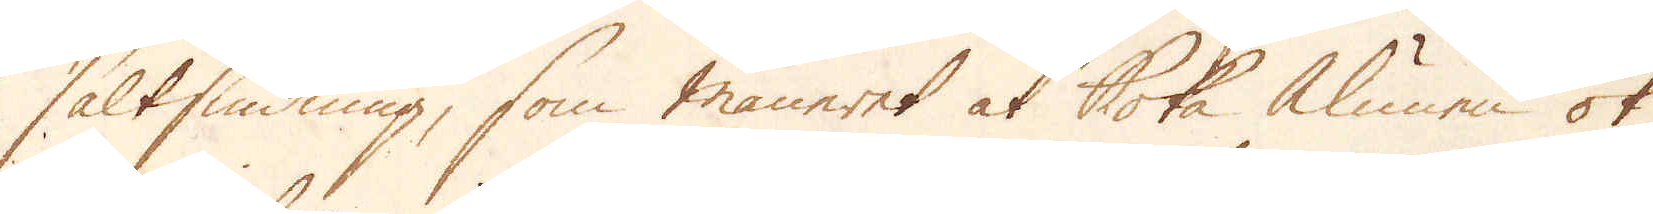saltsiudning, som maneret at boka alunen ok
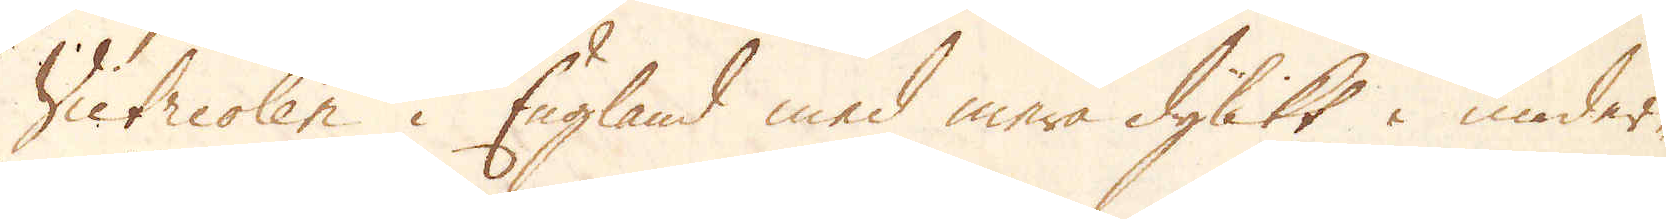Victriolen i England med mera dylikt i under-
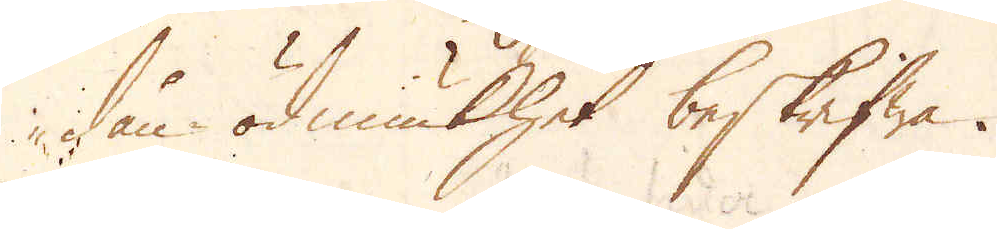dån.ödmiukhet beskrifwa.
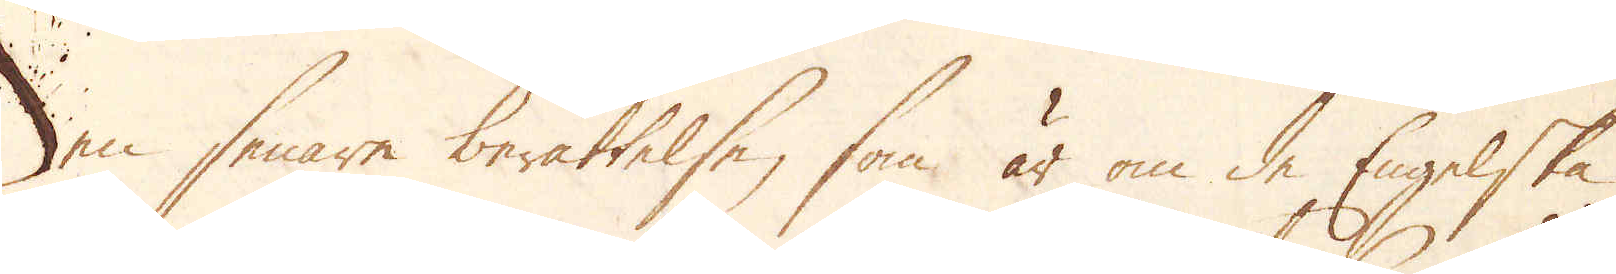Den senare berättelse, som är om de Engelske
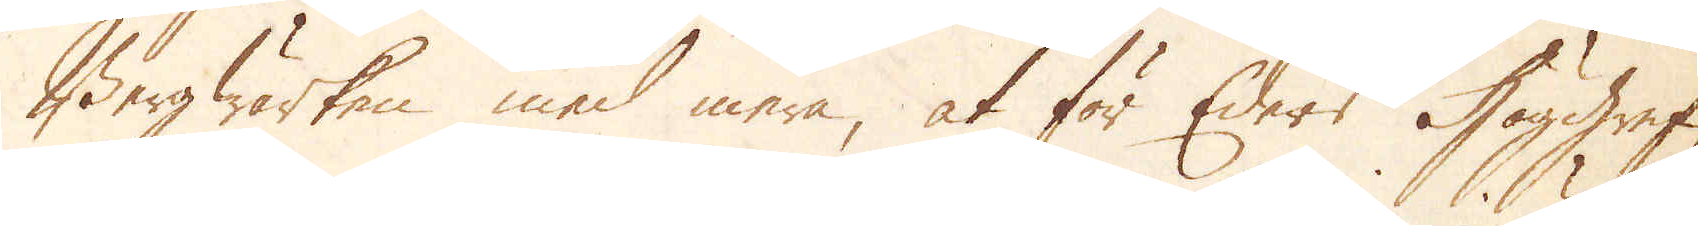Bergwärken med mera, at för Eders Höggrefl:
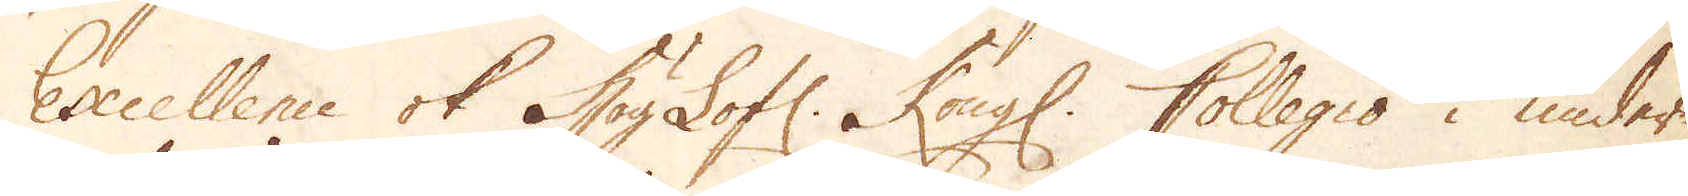Excellence ok HögLofl: Kongl. Collegio i under-
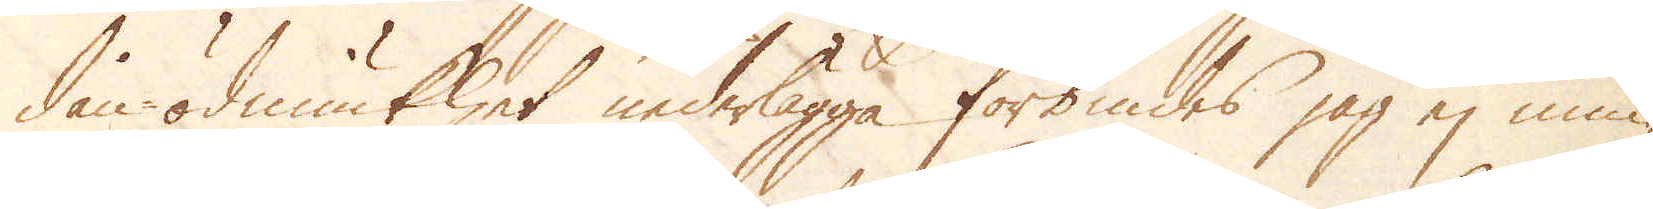dån-ödmiukhet nederlägga förbindes jag ej min-
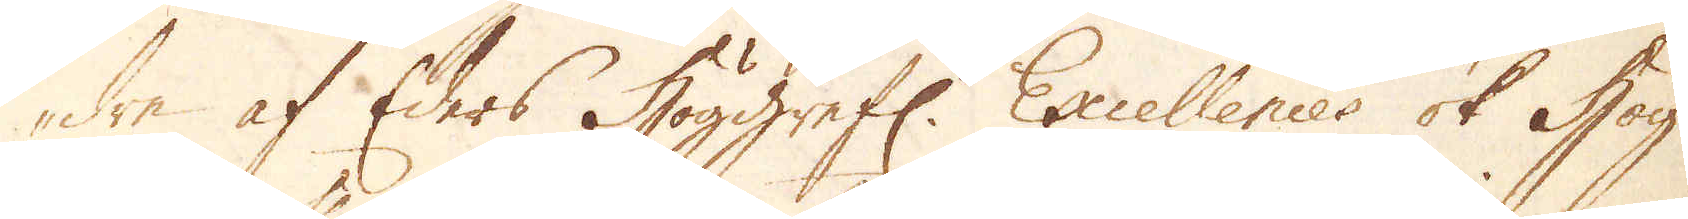dre af Eders Höggrefl: Excellences ok Hög-
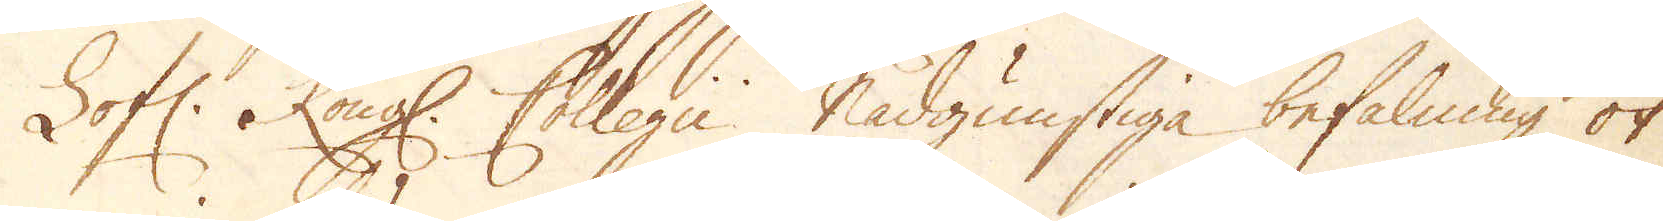Lofl: Kongl. Collegii nådgunstiga befalning ok
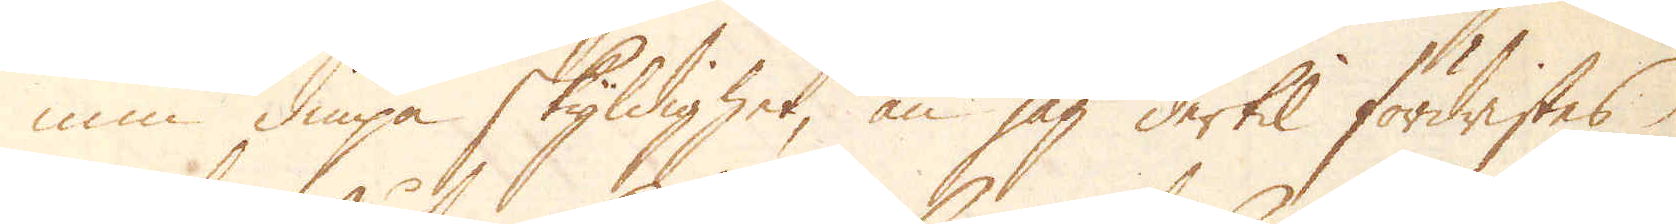min diupa skyldighet, än jag dertil förwistes
